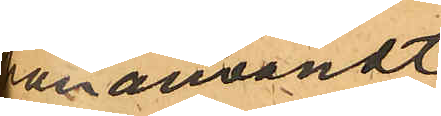han användt
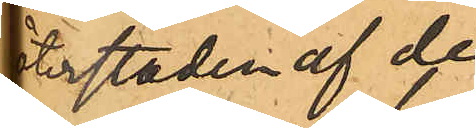återstoden af de
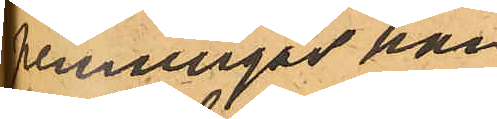penningar han
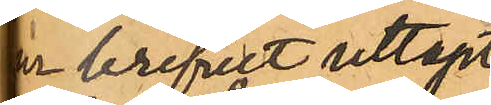ur brefet uttagit
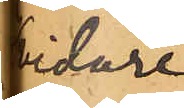vidare
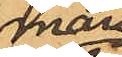mån
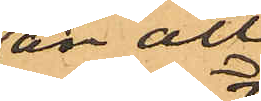än att
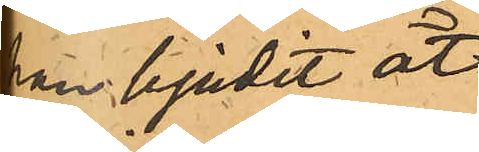han bjudit åt¬
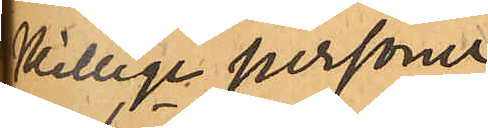skillige personer
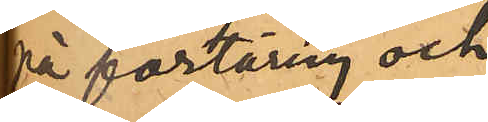på förtäring och
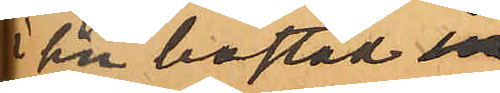i sin bostad in
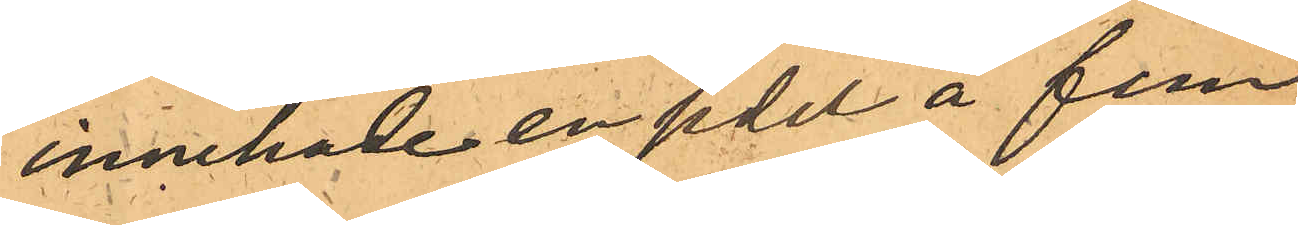innehade en sedel å fem
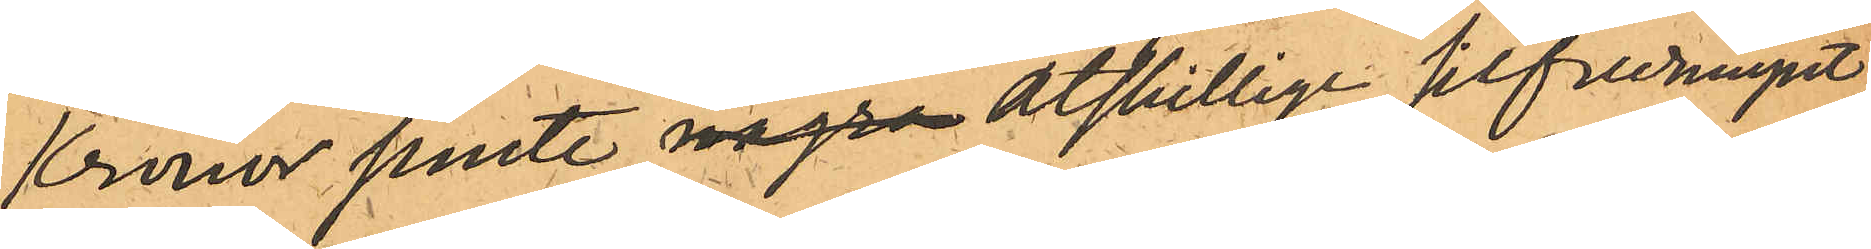Kronor jemte några åtskillige silfvermynt;
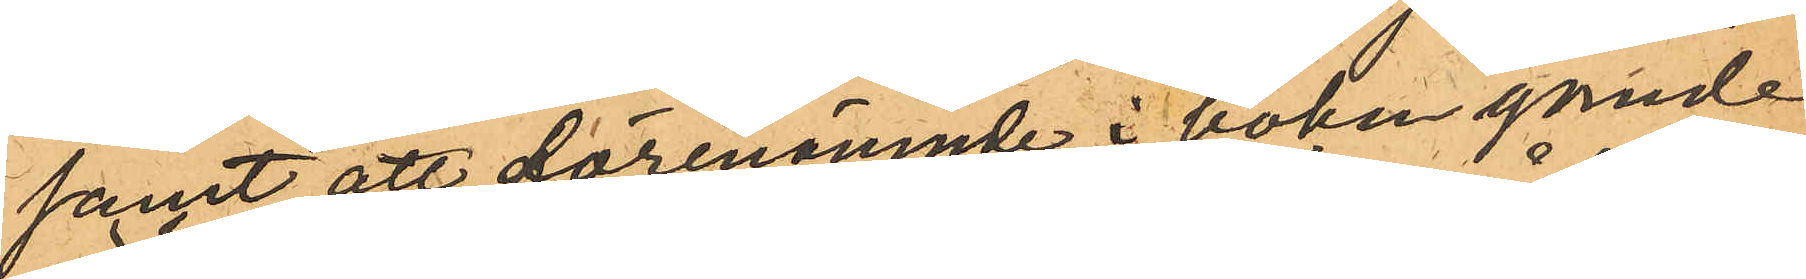samt att förenämnde i boken gömde
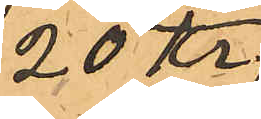20 Kr;
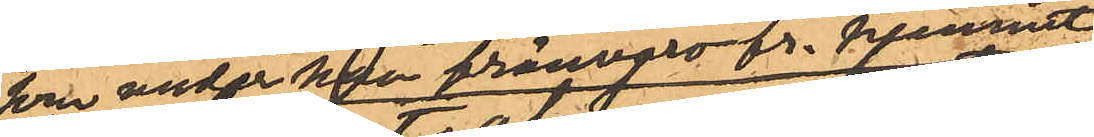som under hans frånvaro fr. hemmet
